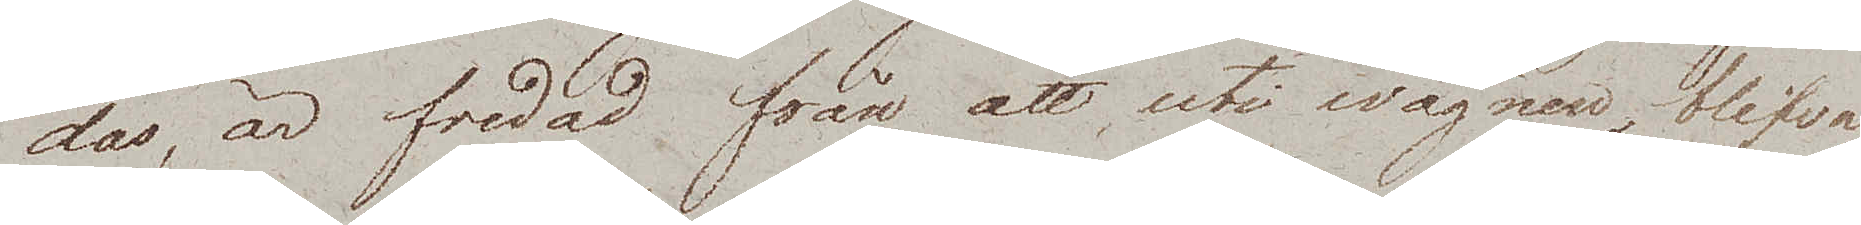das, är fredad från att, uti wagnen, blifva
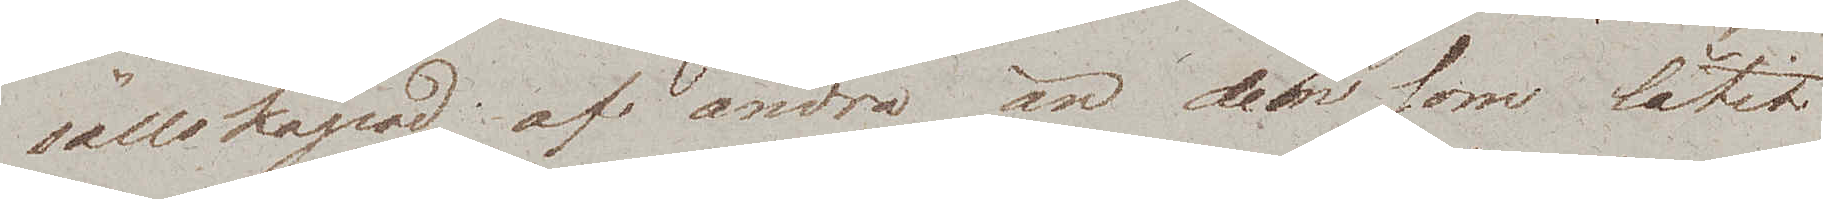sällskapad af andra än dem som låtit
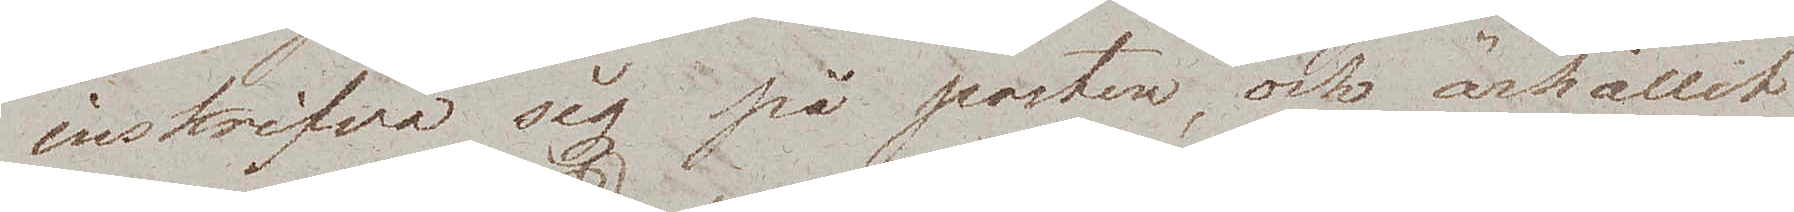inskrifva sig på posten och ärhållit
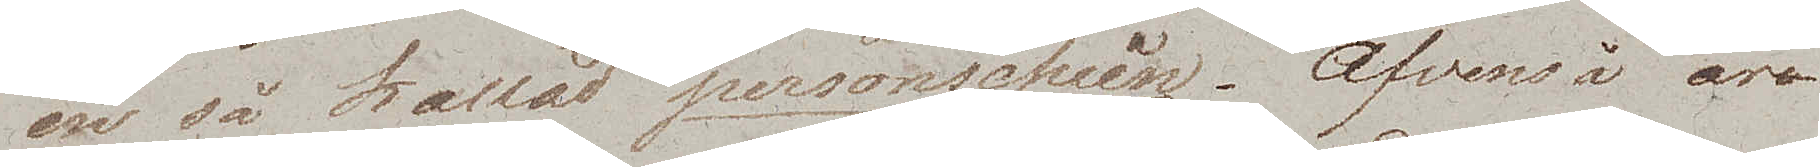en så kallad personschein. Äfvenså är
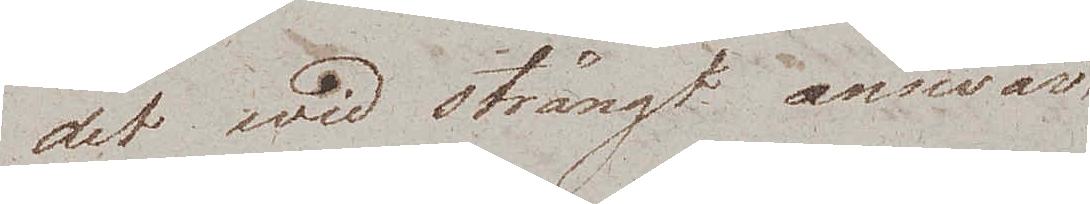det wid strängt answar
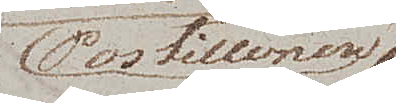Postillonen
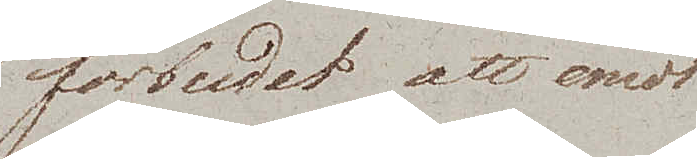förbudet att emot
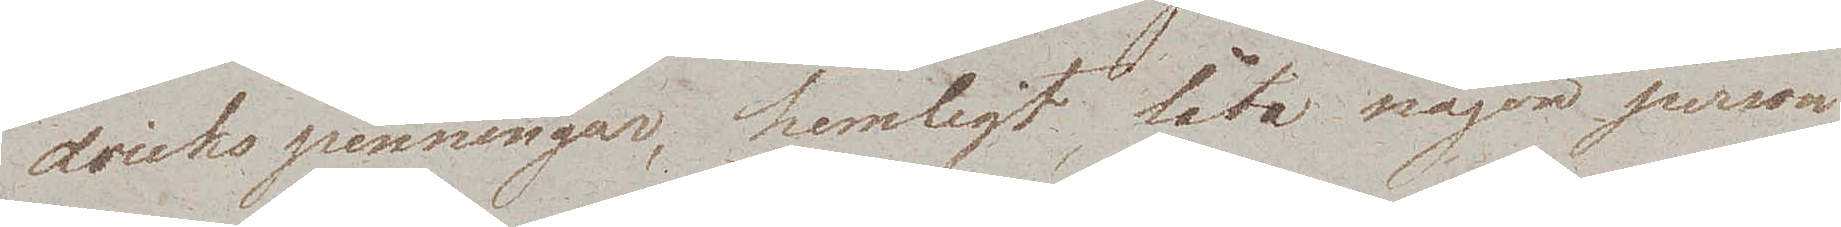drickspenningar, hemligt, låta någon person
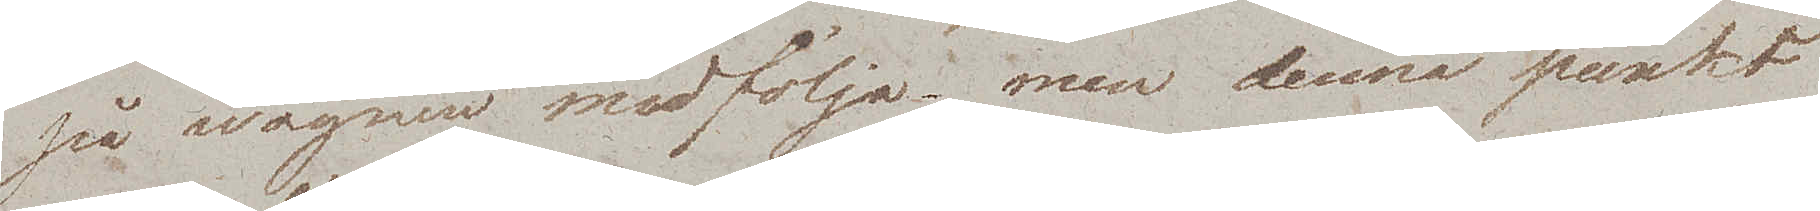på wagnen medfölja – men denna punkt
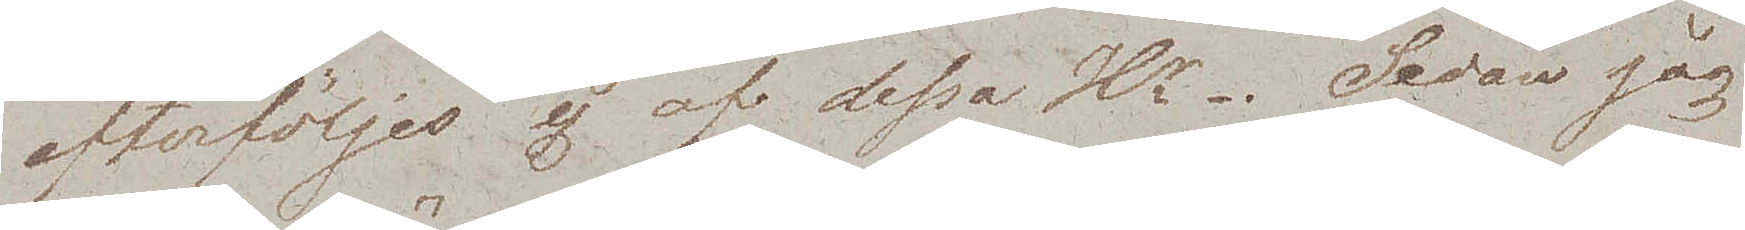efterföljes ej af dessa Hrr. Sedan jag
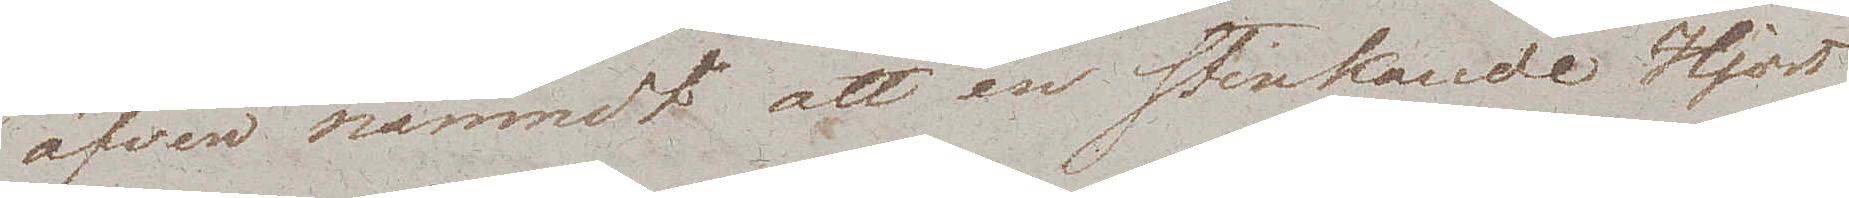äfven nämndt att en stinkande Hjort
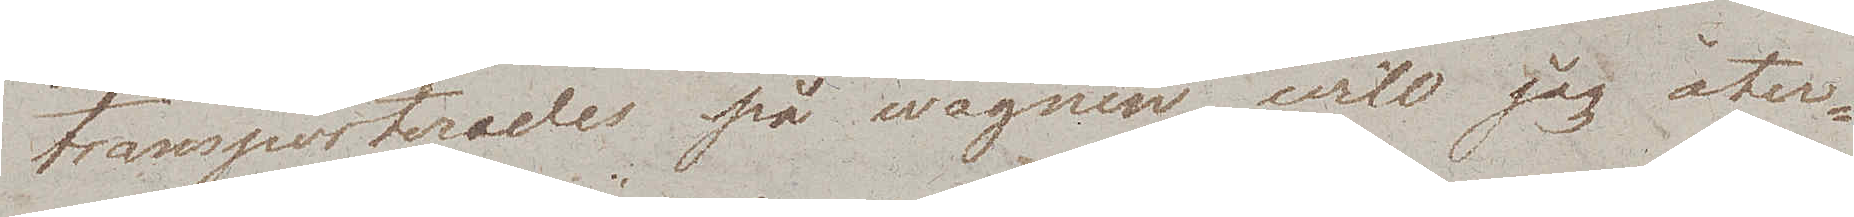transporterades på wagnen, will jag åter¬
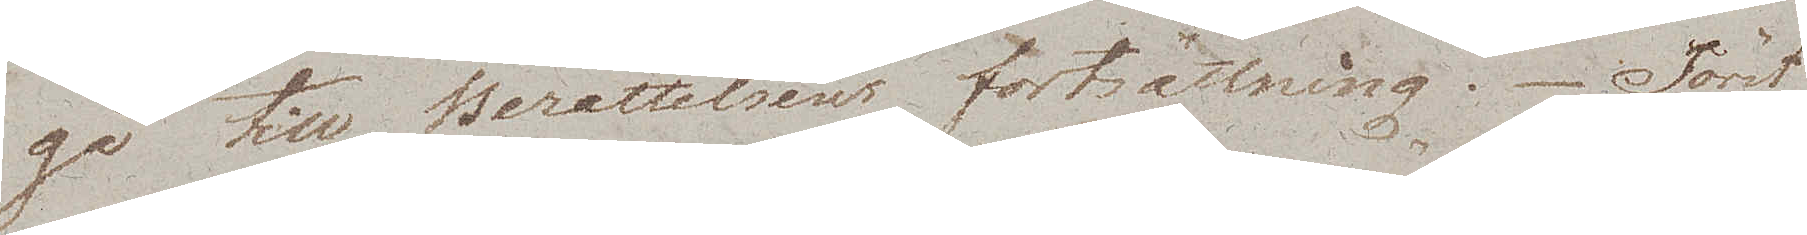gå till Berättelsens fortsättning. Först
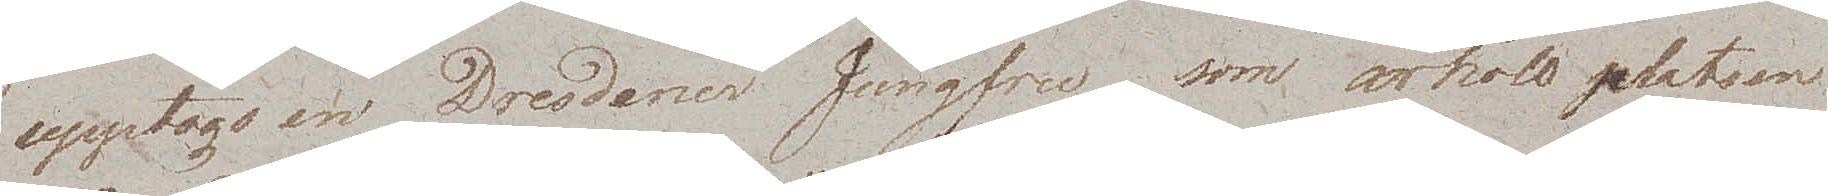upptogs en Dresdener Jungfru, som ärhöll platsen
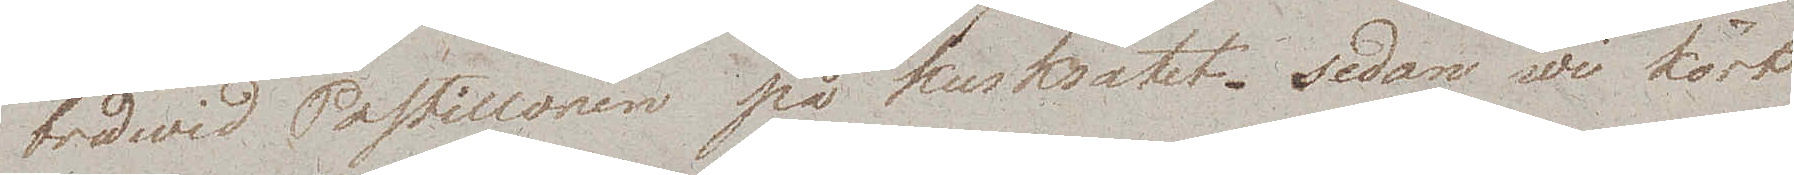bredwid Postillonen på kusksätet. Sedan wi kört
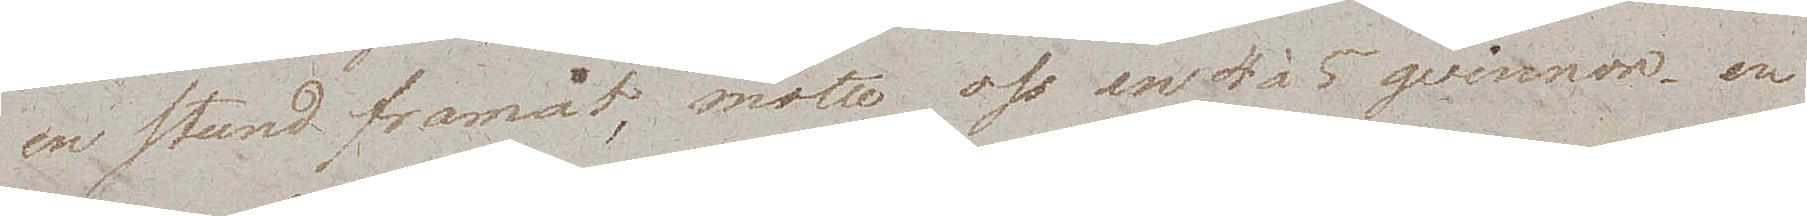en stund framåt, mötte oss en 4 à 5 qvinnor, en
